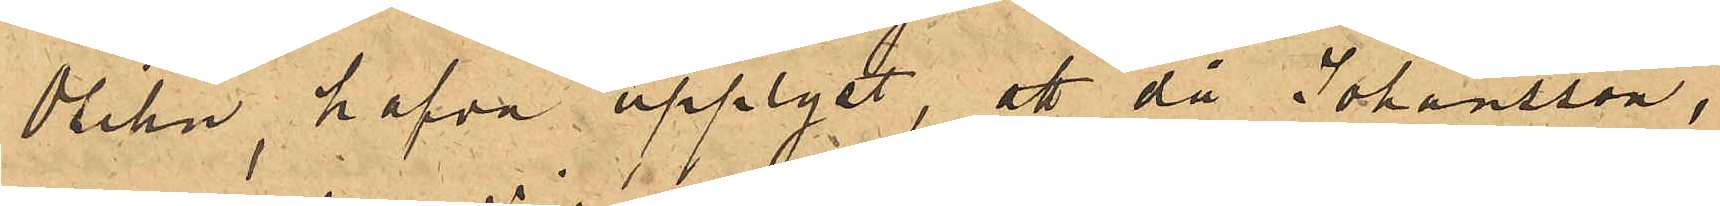Olihn, hafva upplyst, att då Johansson,
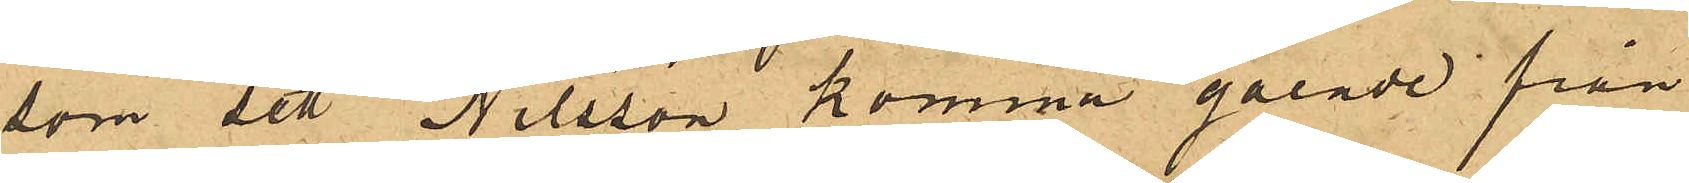som sett Nilsson komma gående från
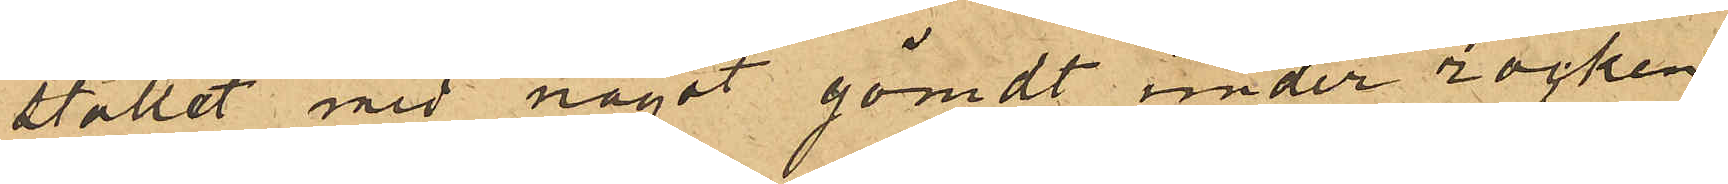stallet med något gömdt under rocken
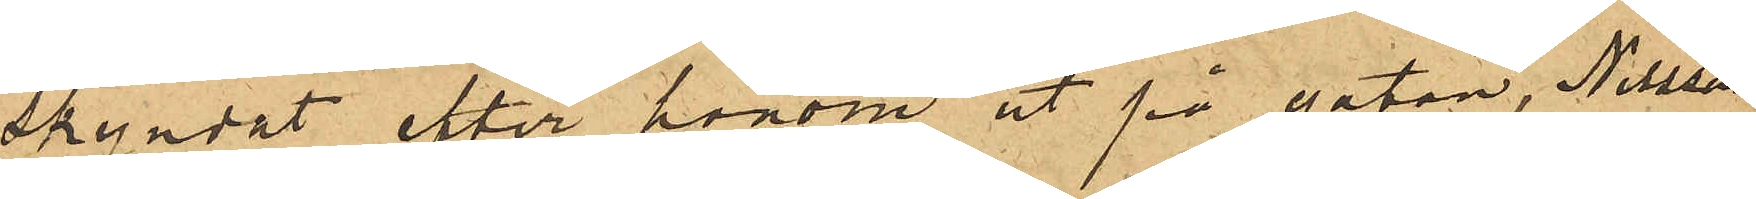skyndat efter honom ut på gatan, Nilsson
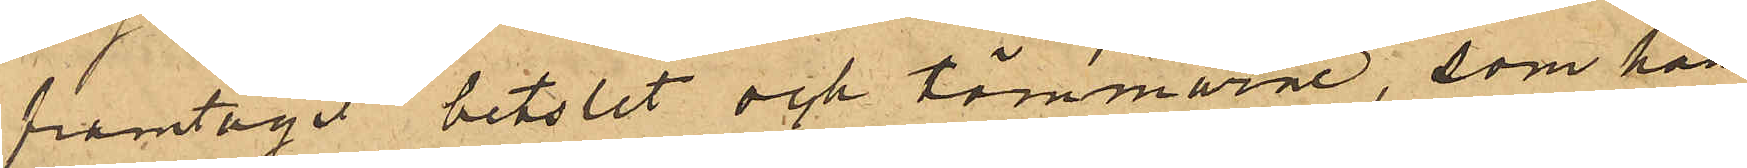framtagit betslet och tömmarne, som han
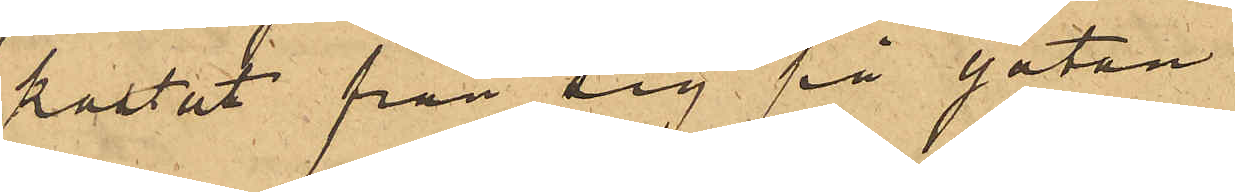kastat från sig på gatan.
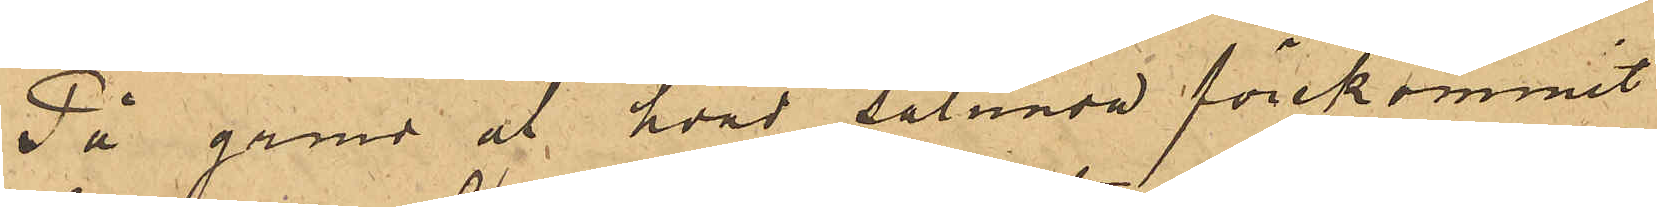På grund af hvad sålunda förekommit
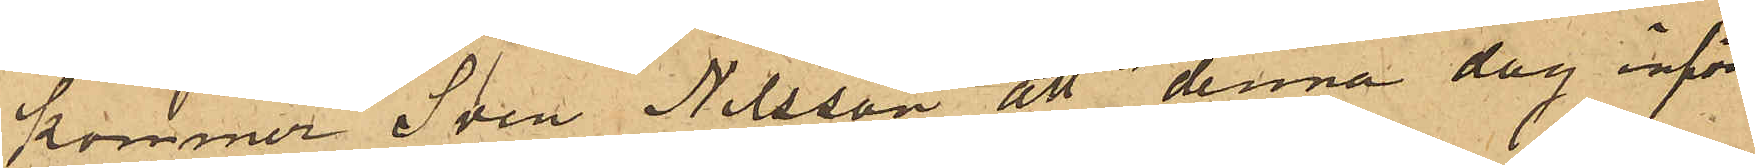kommer Sven Nilsson att denna dag inför
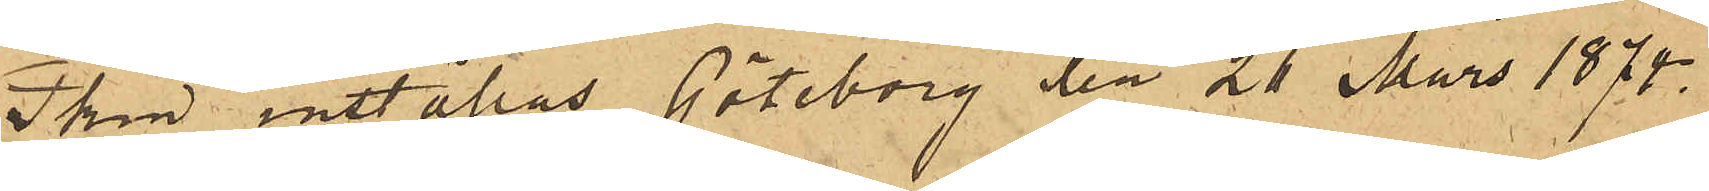Pkm inställas. Göteborg den 26 Mars 1874.
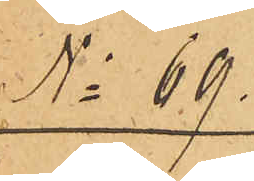No 69.
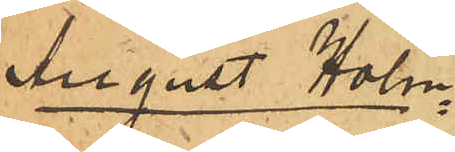August Holm¬
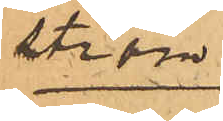ström
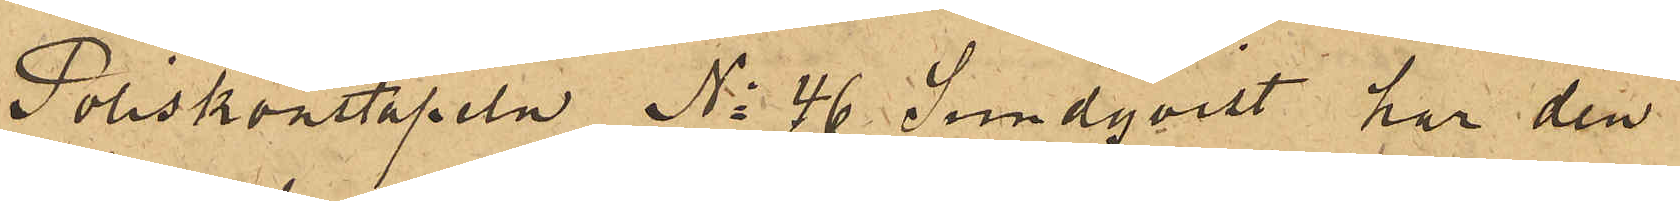Poliskonstapeln No 46 Sundqvist har den
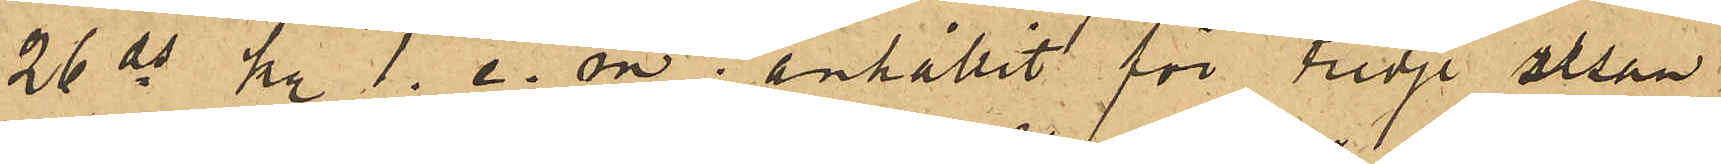26 ds kl 1. e. m anhållit för tredje resan
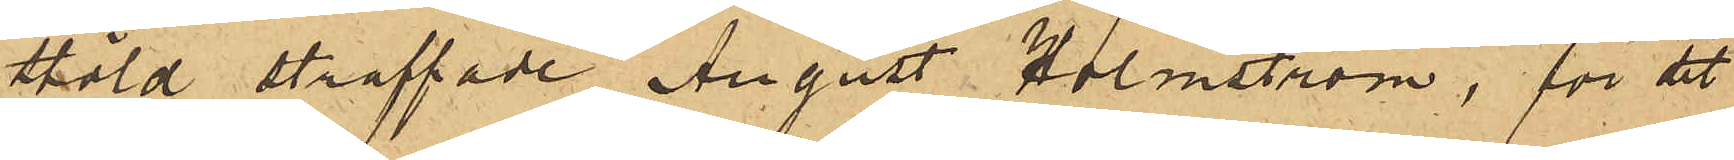stöld straffade August Holmström, för det
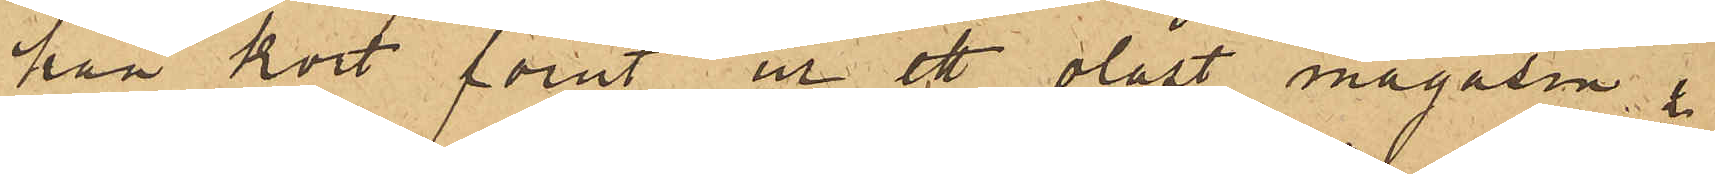han kort förut ur ett olåst magasin i
